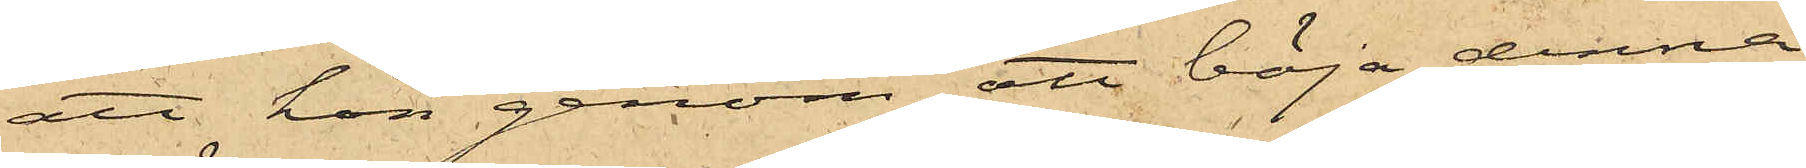att hon genom att böja denna
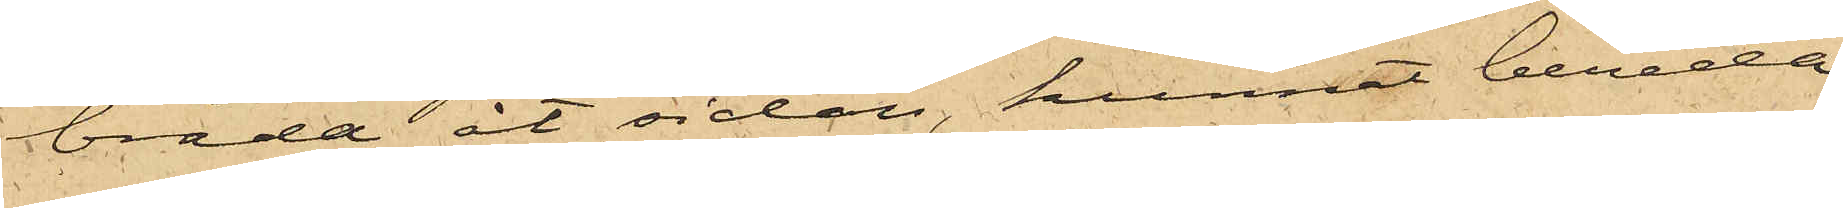bräda åt sidan, kunnat bereda
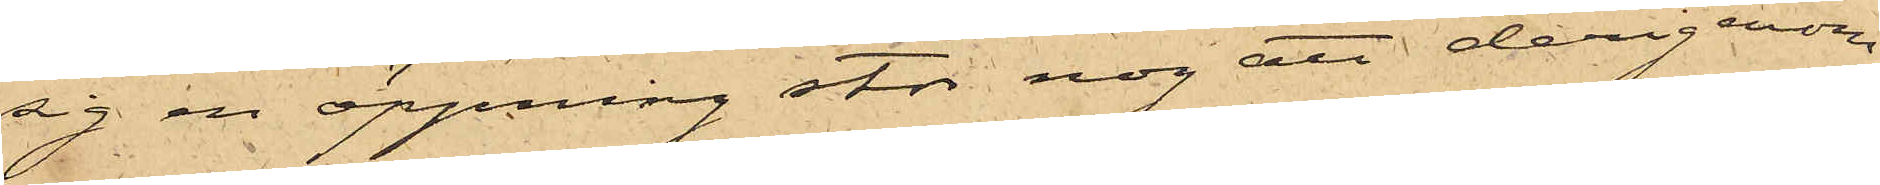sig en öppning stor nog att derigenom
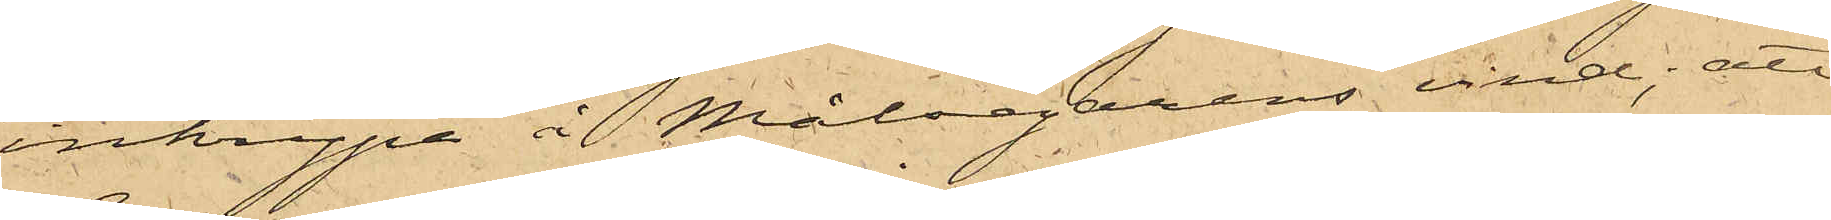inkrypa å Målsegarens vind; att
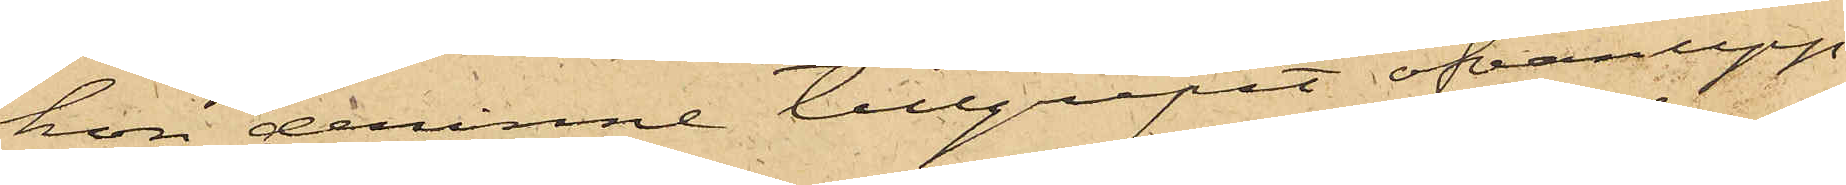hon derinne tillgripit ofvanupp¬
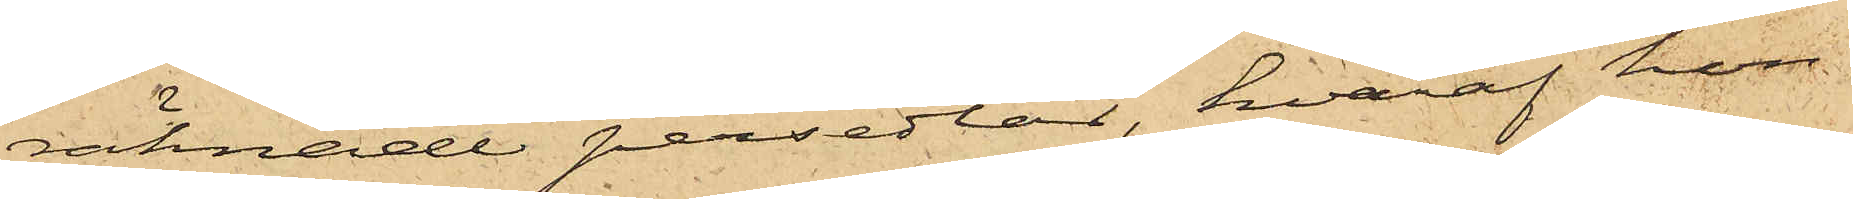räknade persedlar, hvaraf hon
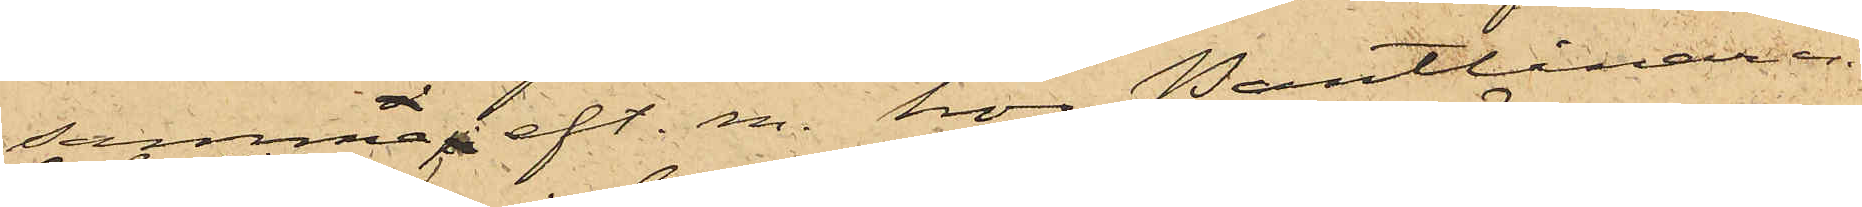samma eft. m. hos Pantlånaren
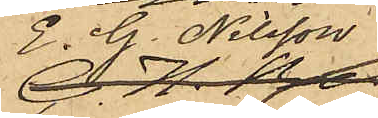E. G. Nilsson
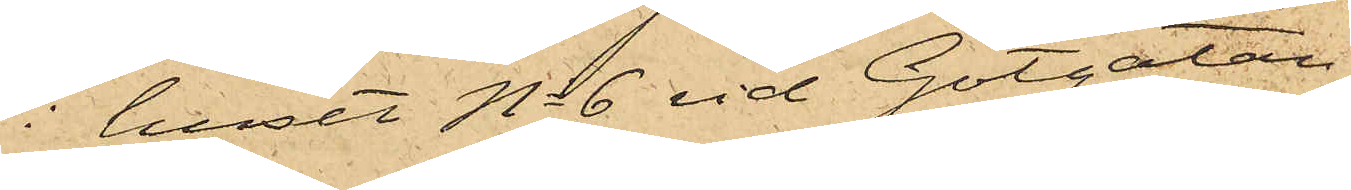i huset No 6 vid Götgatan
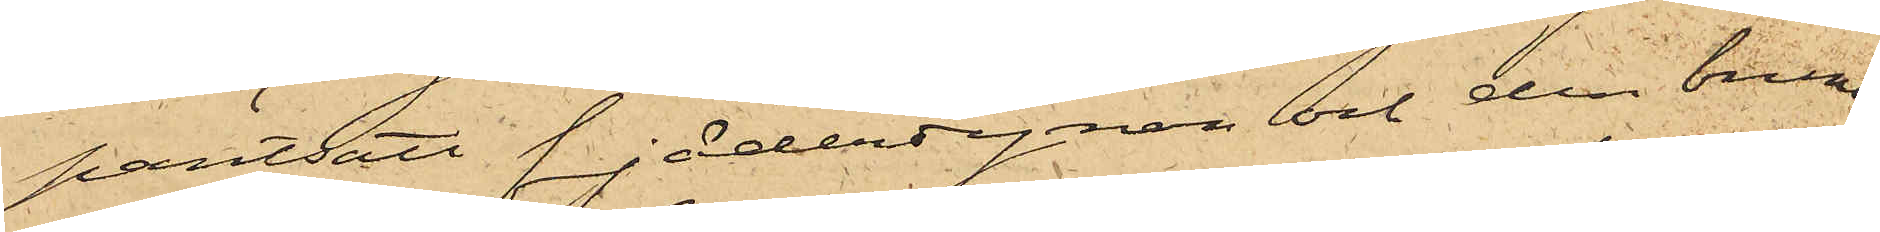pantsatt fjäderdynan och den bruna
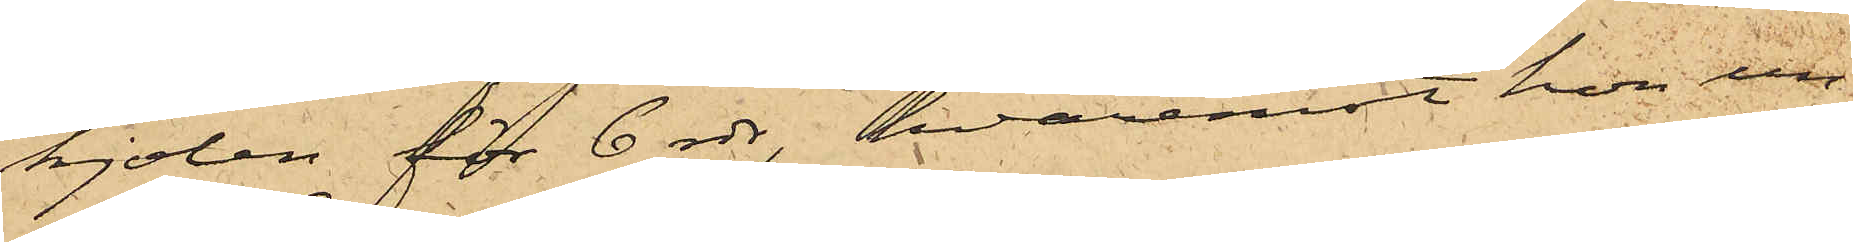kjolen för 6 rdr, hvaremot hon un¬
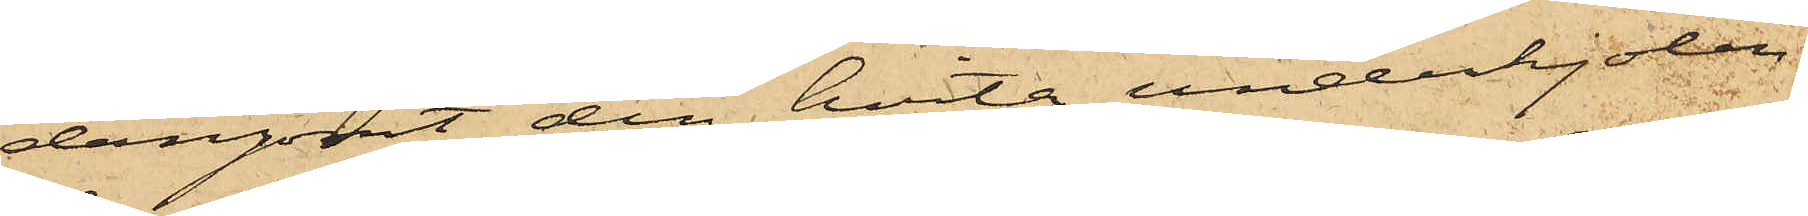dangömt den hvita underkjolen
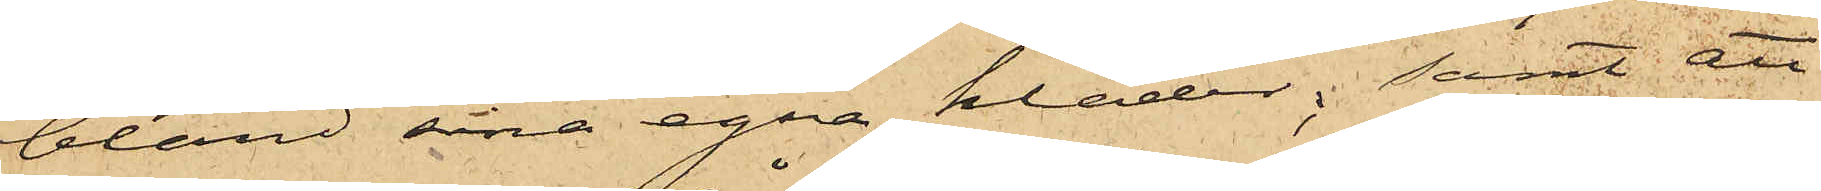bland sina egna kläder; samt att
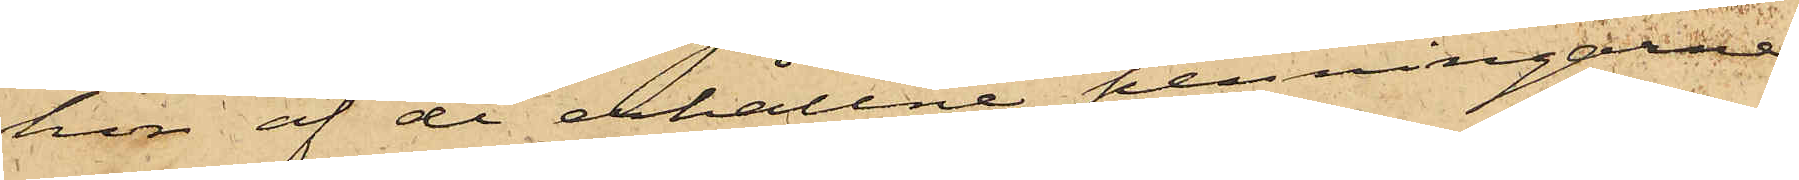hon af de erhållne penningarne
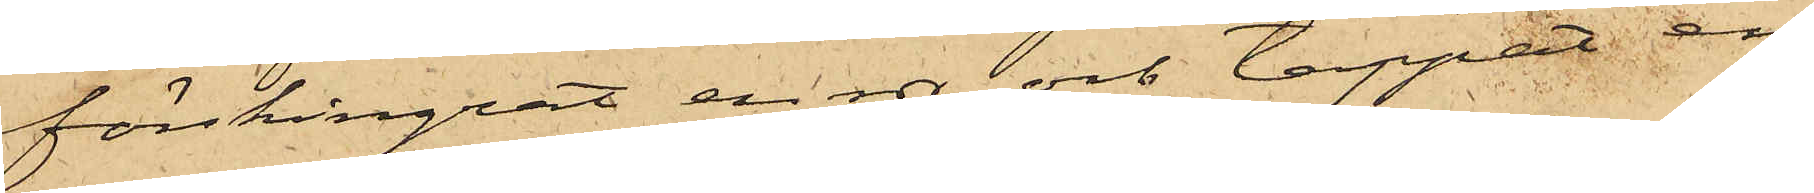förskingrat en rdr och tappat en
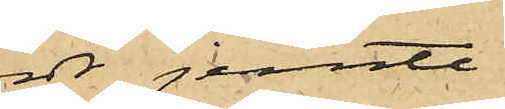rdr jemte
